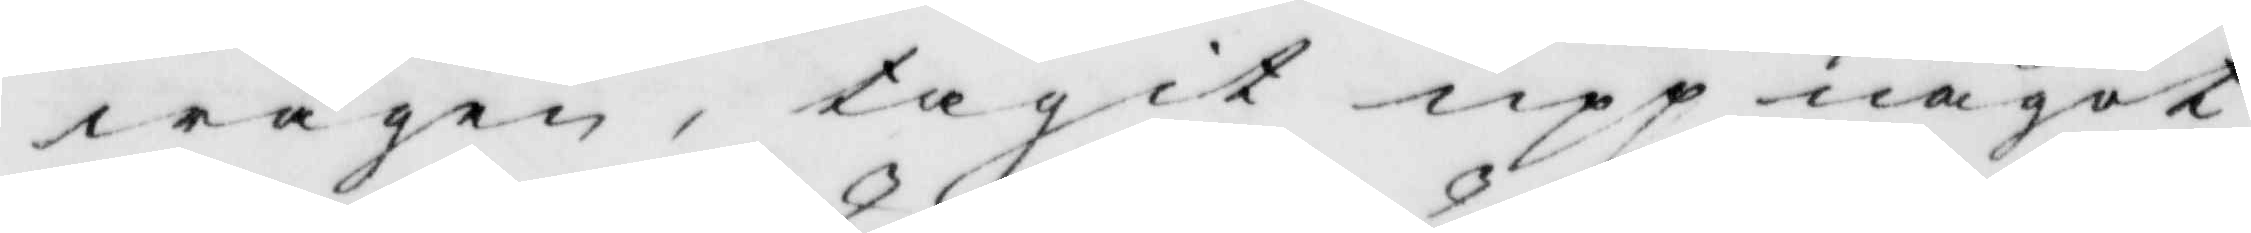wägen, tagit upp något
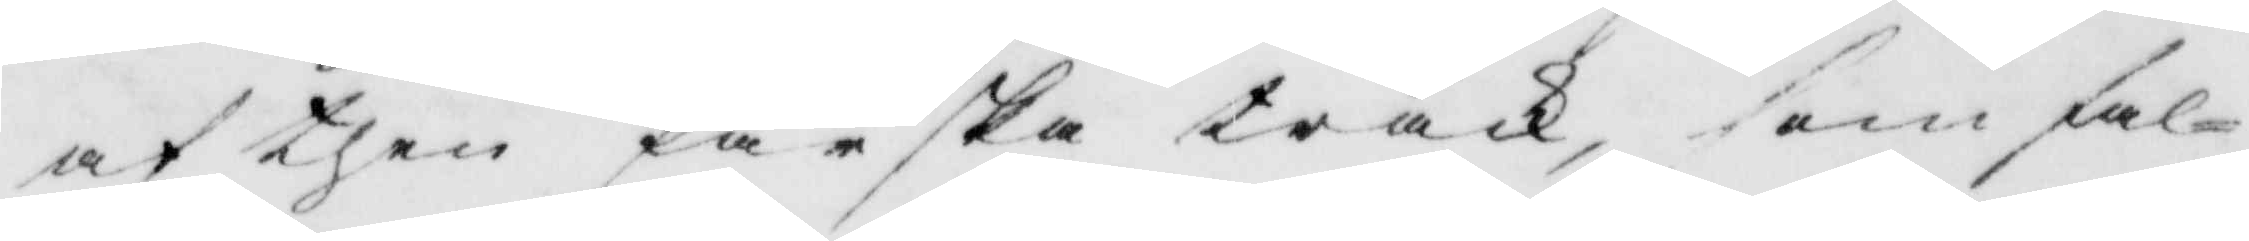af then färska träck, som fal¬
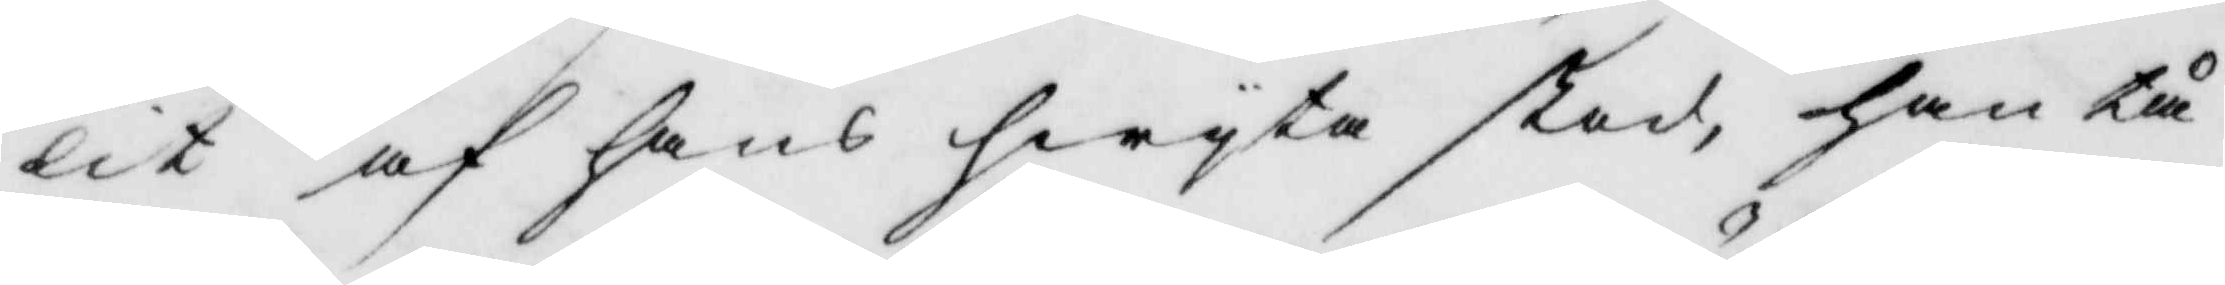lit af hans hwyta stod, han tå
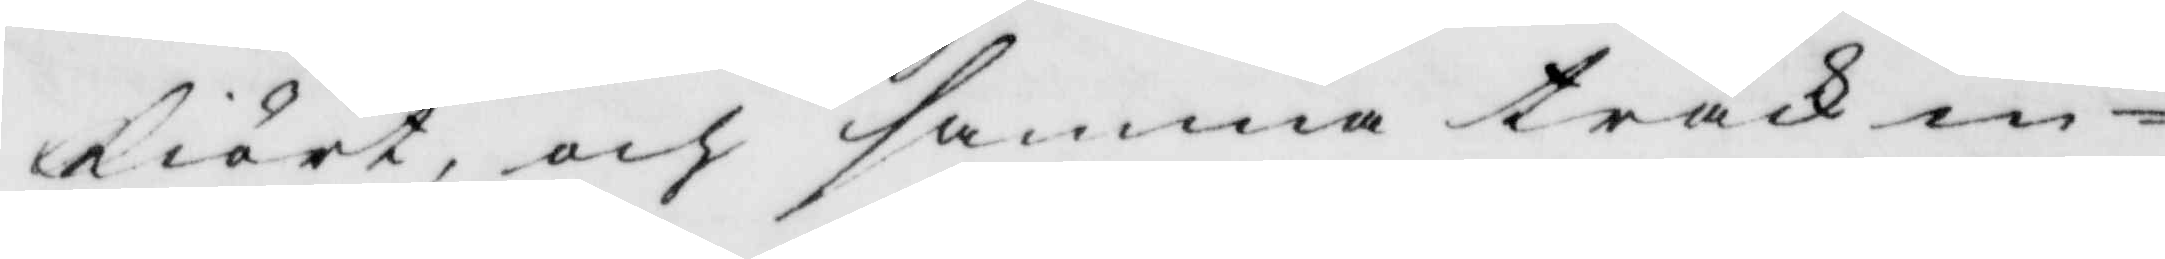kiört, och samma träck in¬
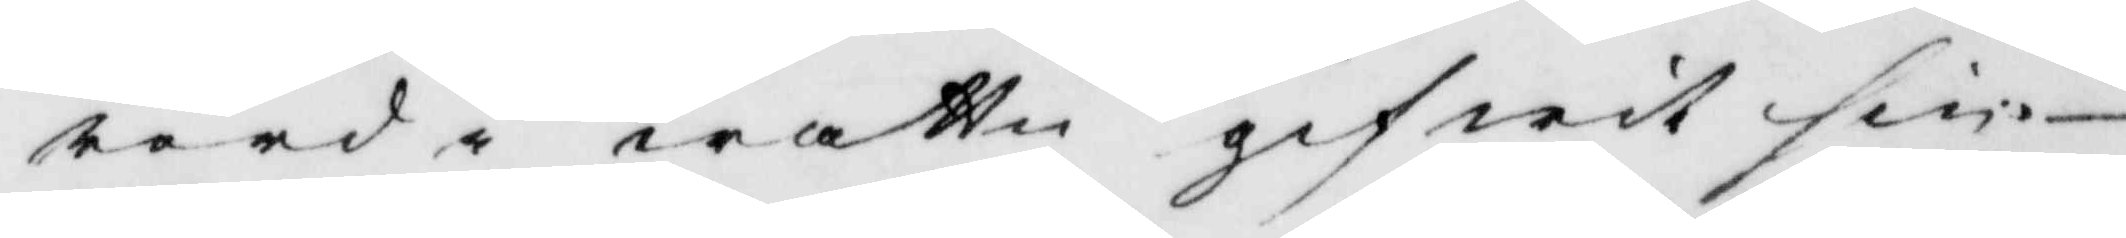rörd i wattn gifwit sin
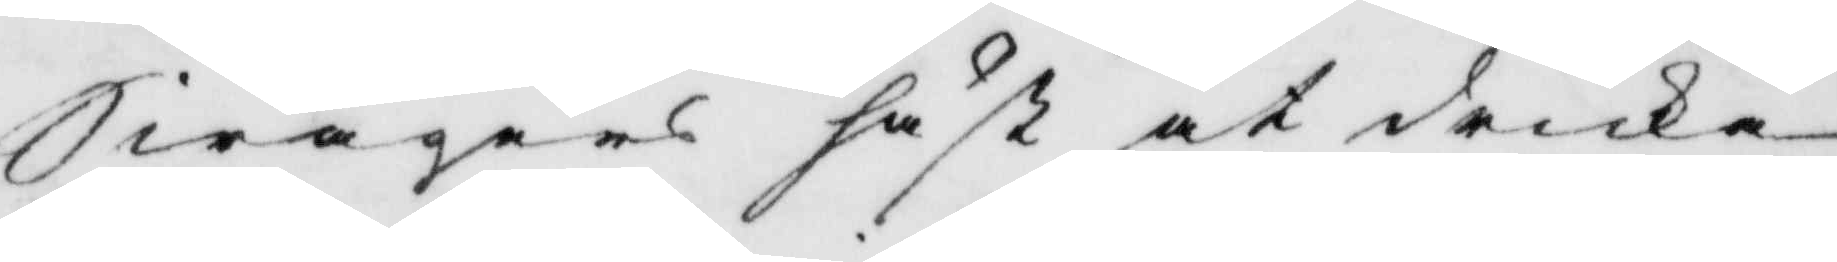Swågers häst at dricka
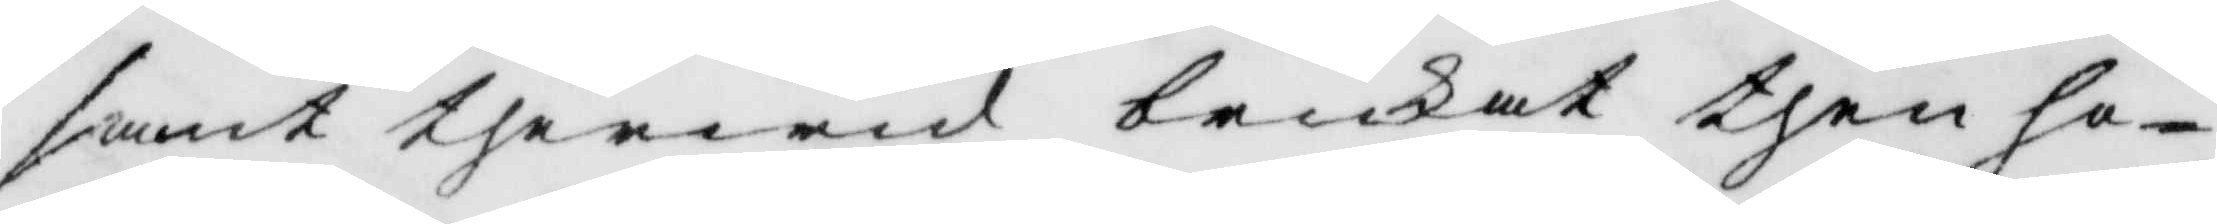samt therwid brukat then ho¬
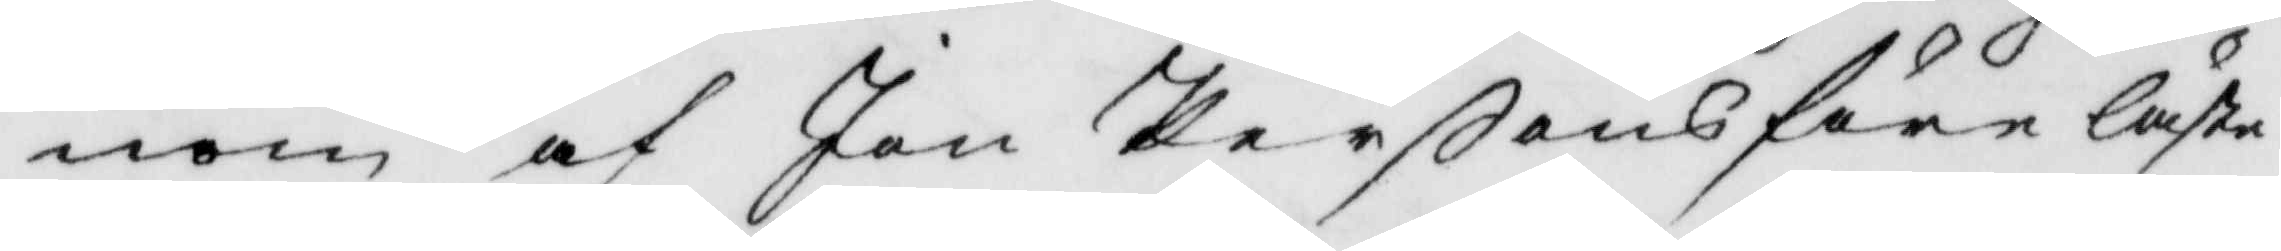nom af Jan Perßons föreläste
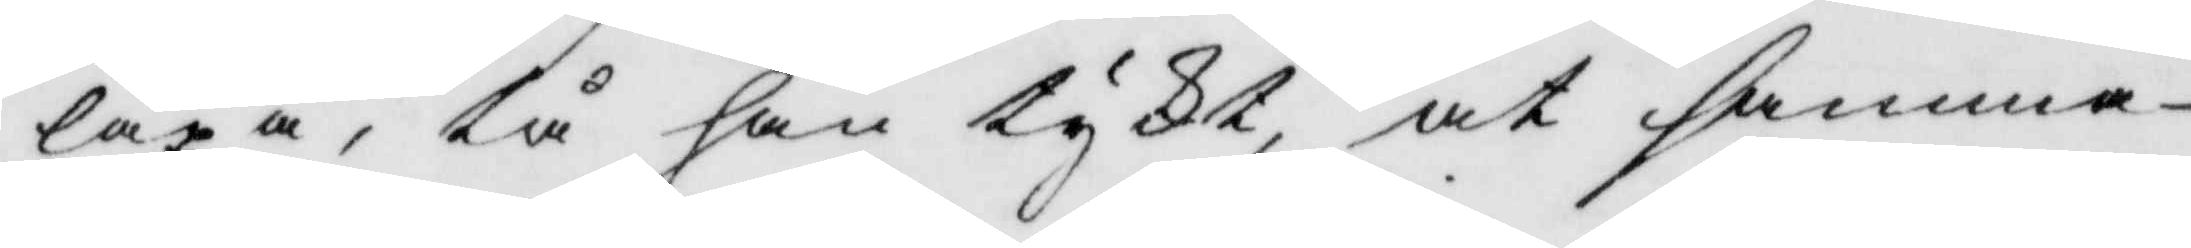läxa, tå han tykt, at samma
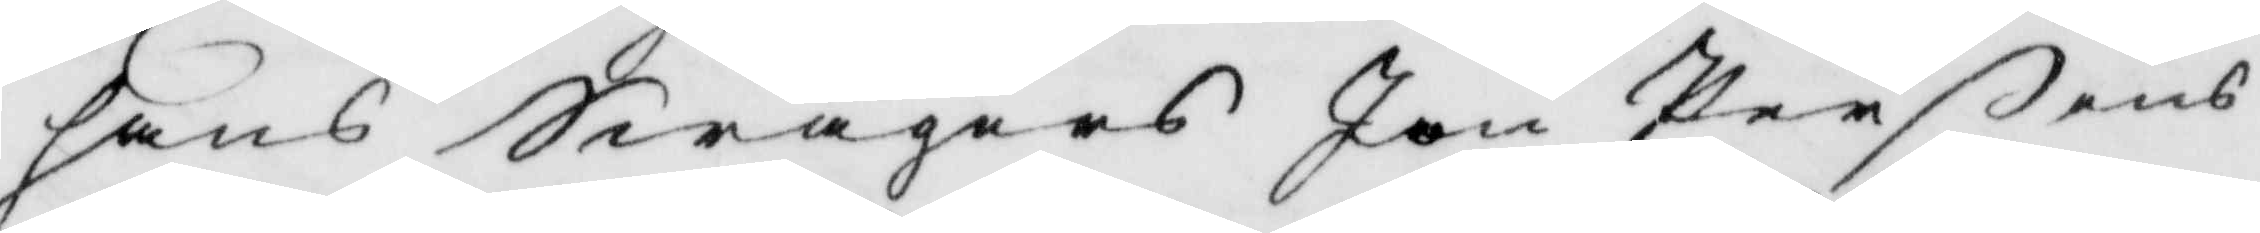hans Swågers Jon Perßons
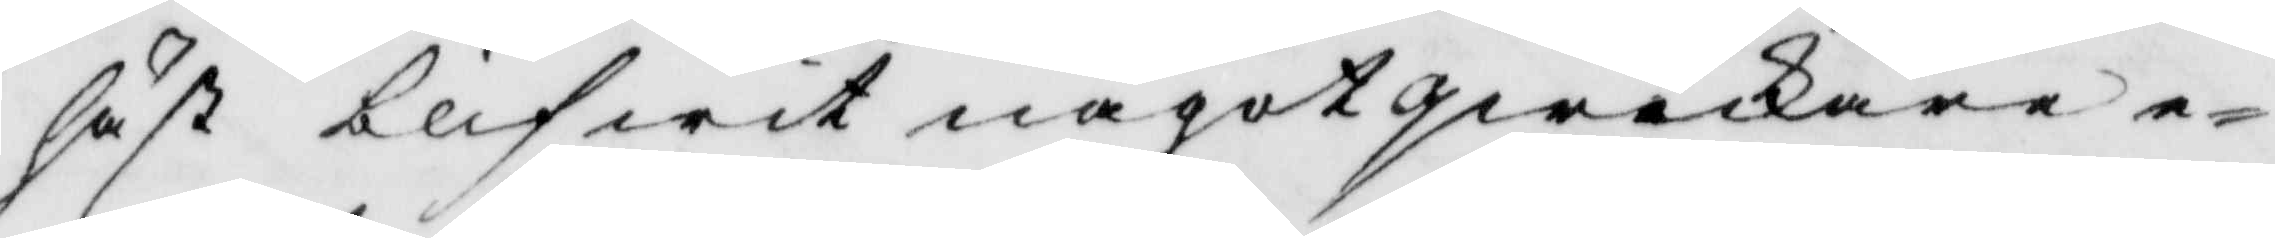häst blifwit något qwickare e¬
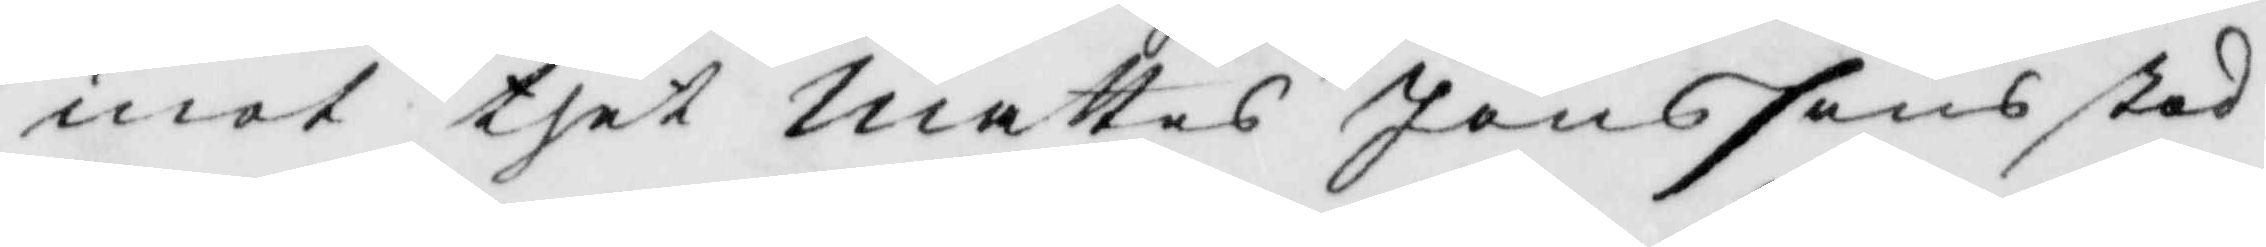mot thet mattes Jönssons stod
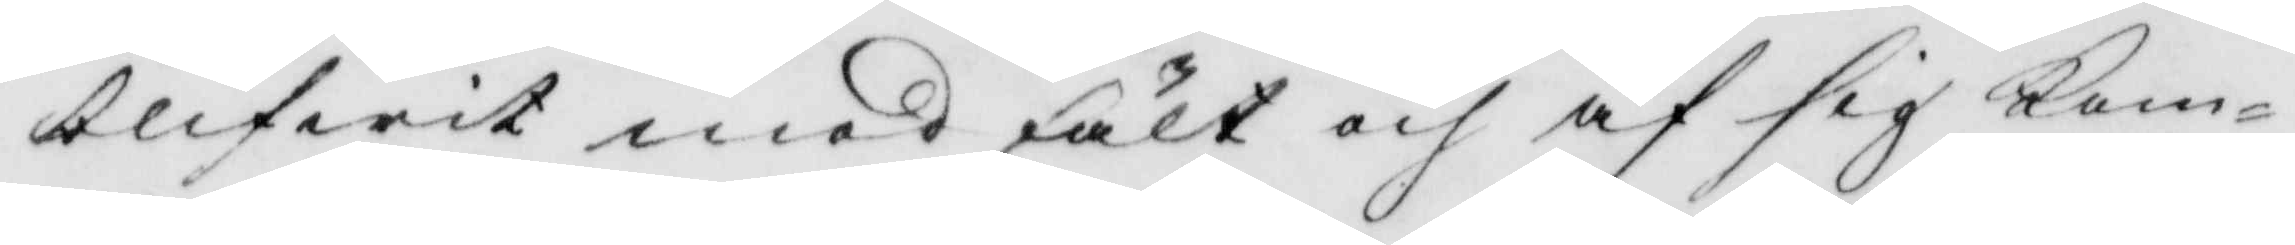blifwit med fält och af sig kom¬
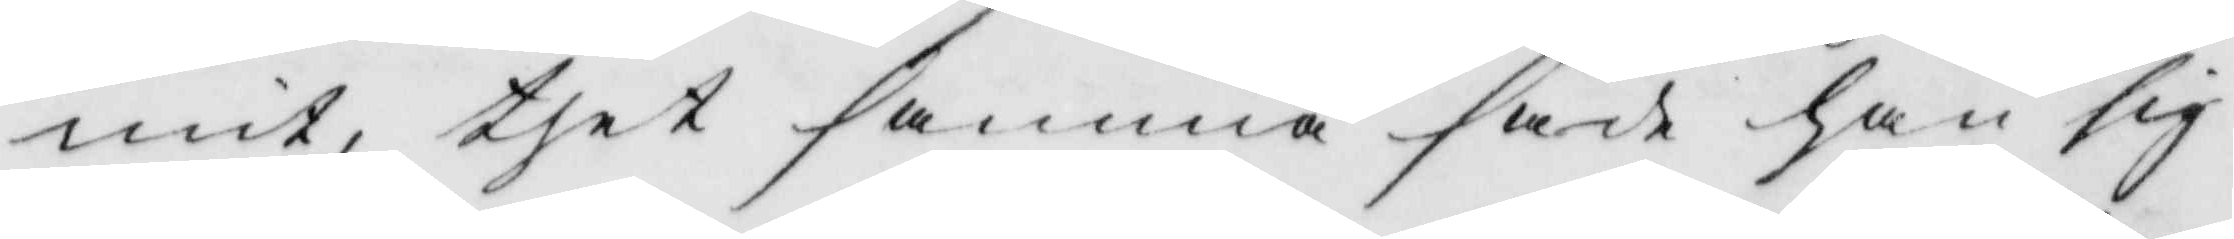mit, thet samma hade han sig
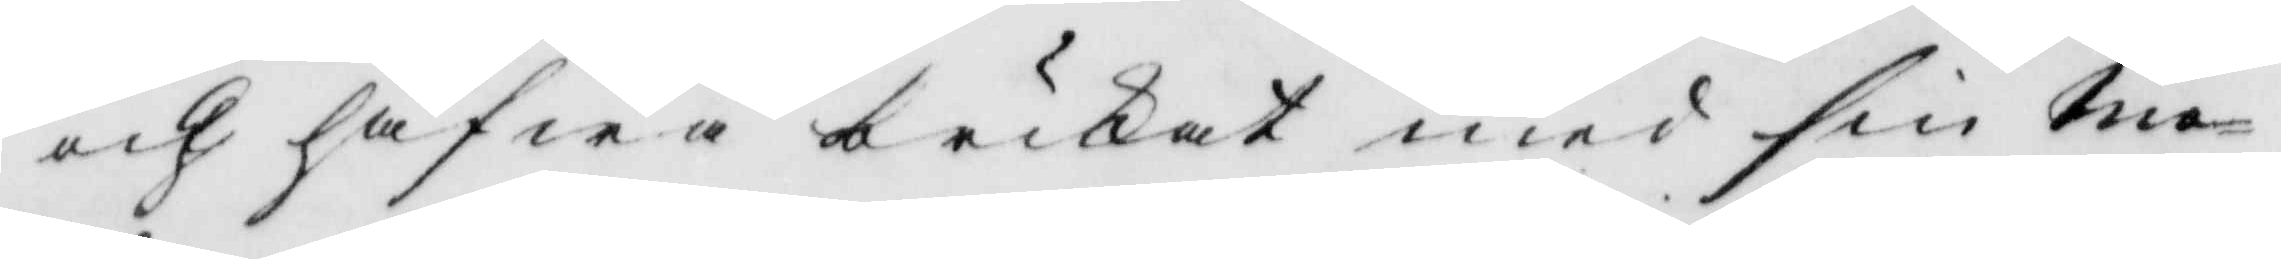och hafwa brukat med sin mo¬
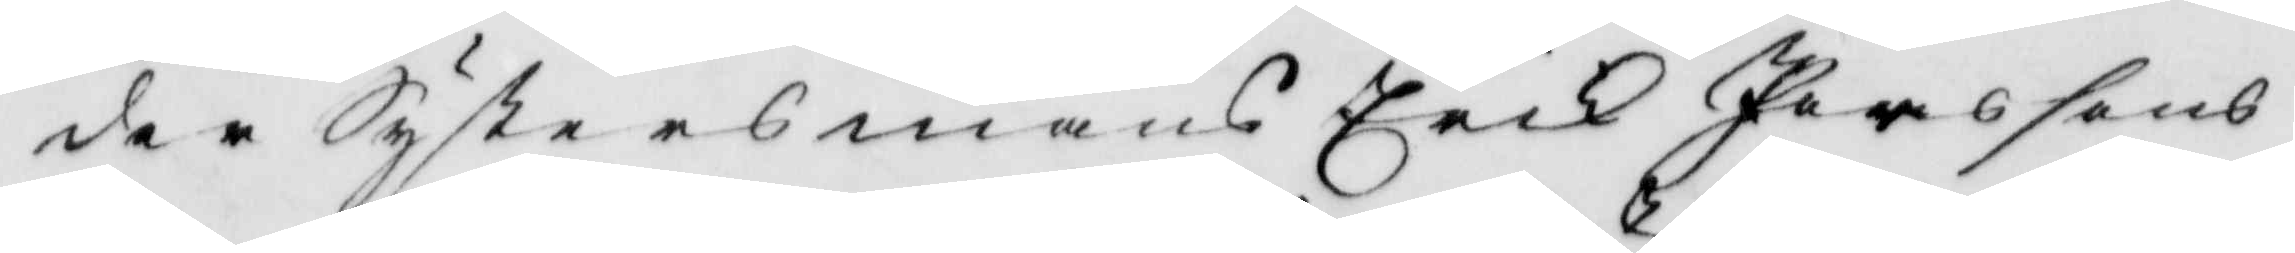der Systersmans Erik Perssons
